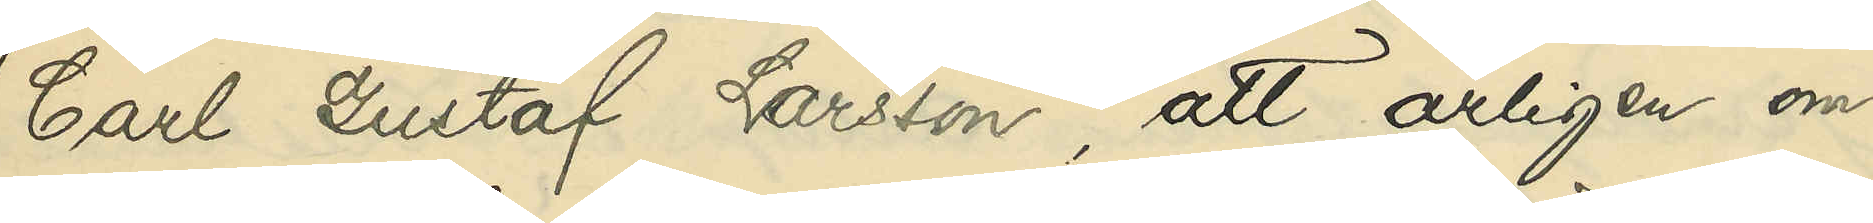Carl Gustaf Larsson, att årligen om¬
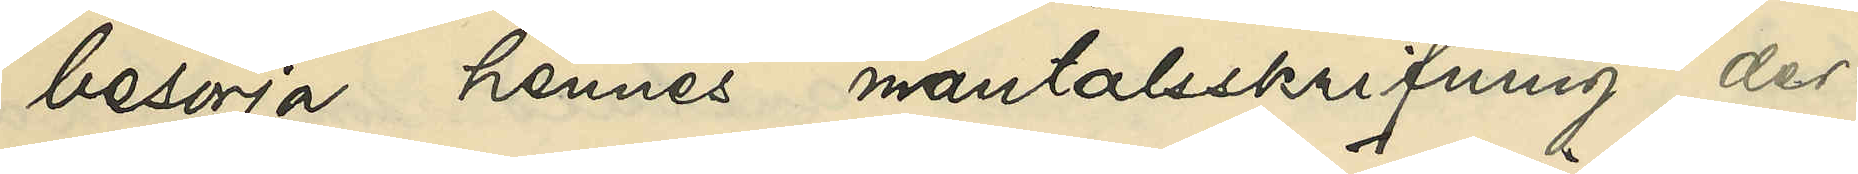besörja hennes mantalsskrifning der¬
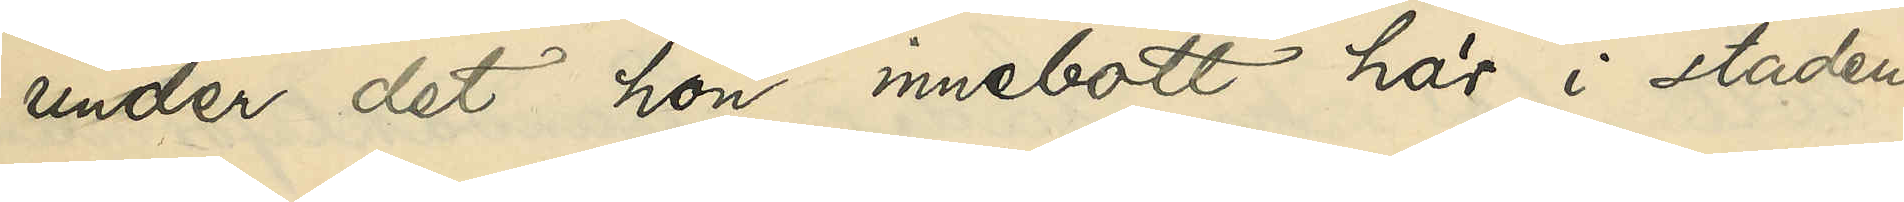under det hon innebott här i staden
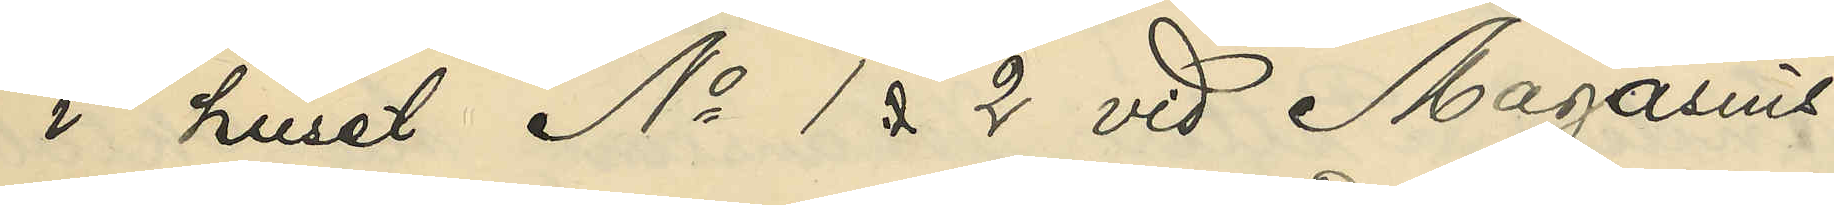i huset No 1 & 2 vid Magasins¬
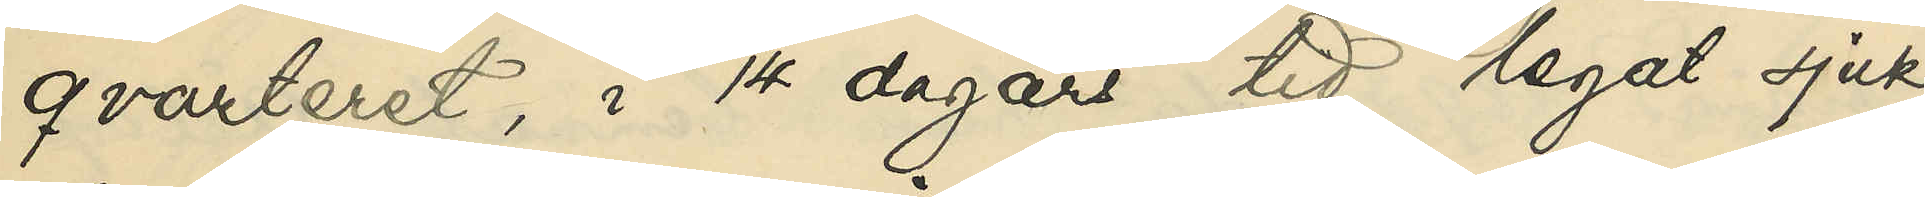qvarteret, i 14 dagars tid legat sjuk
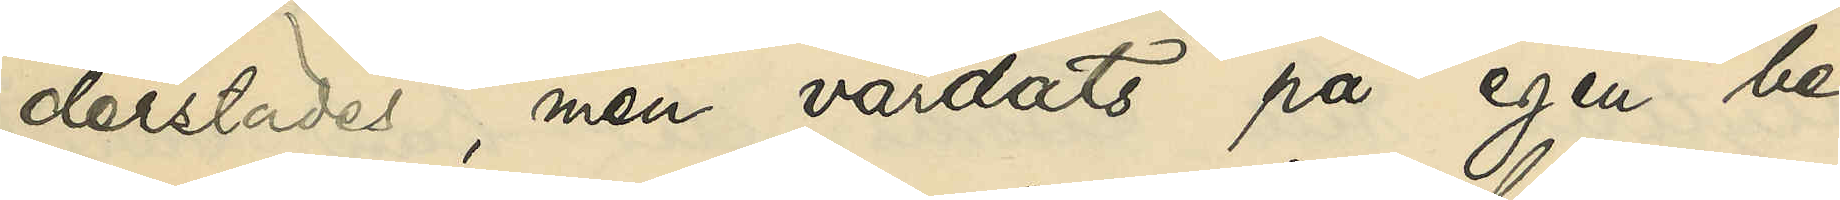derstädes, men vårdats på egen be¬
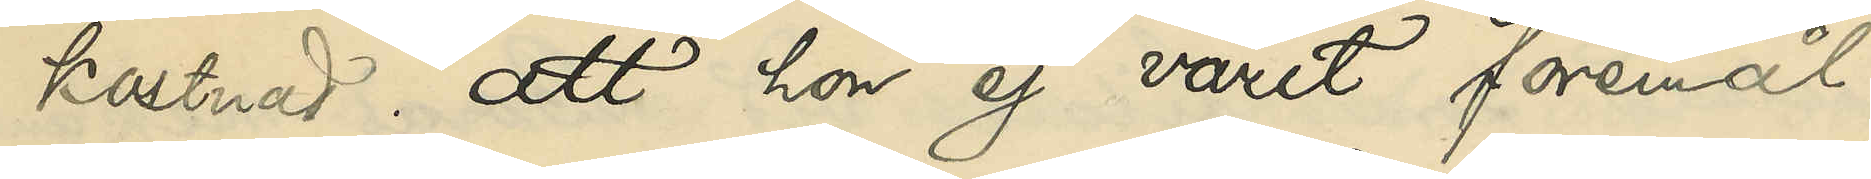kostnad, att hon ej varit föremål
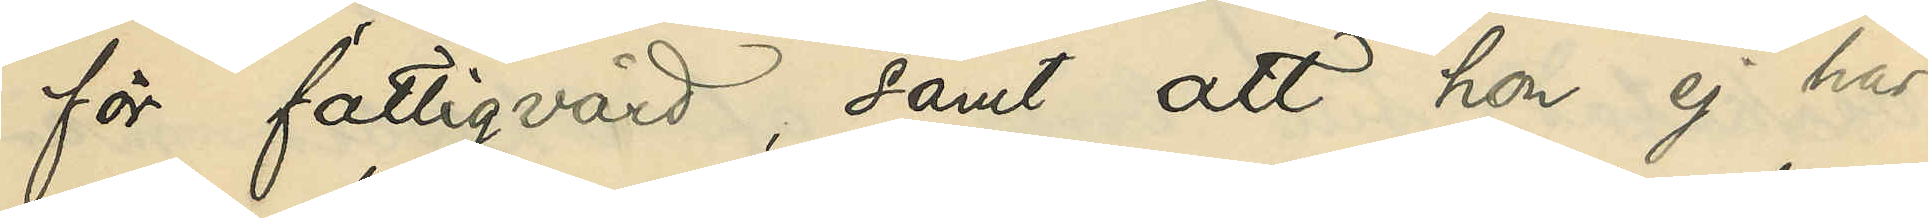för fattigvård, samt att hon ej har
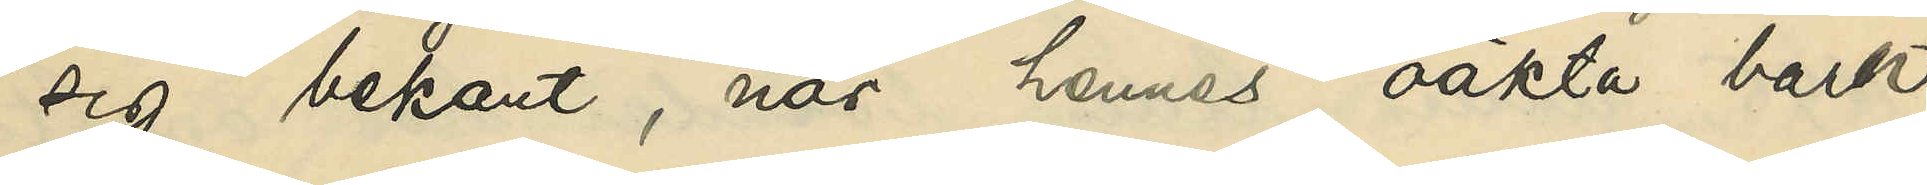sig bekant, när hennes oäkta barn
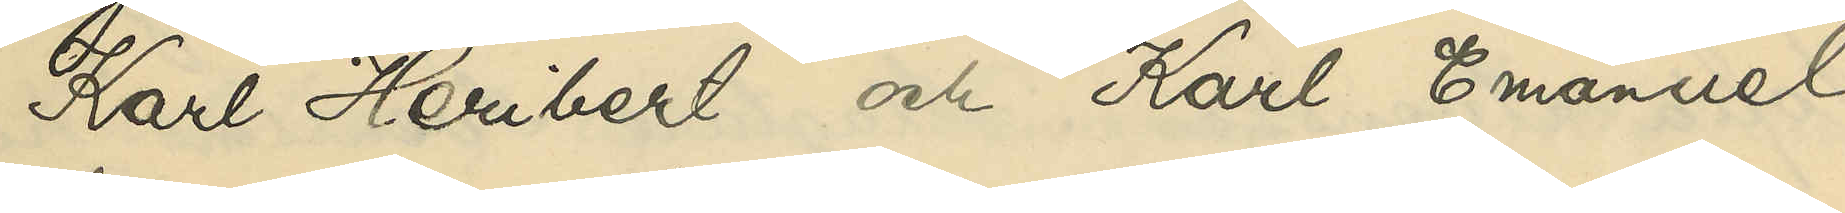Karl Heribert och Karl Emanuel
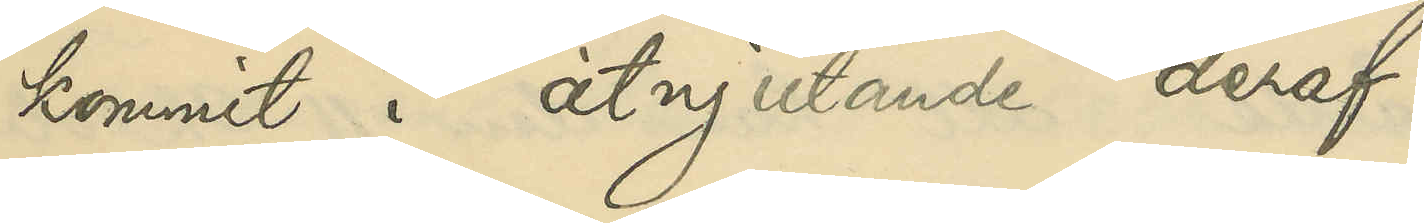kommit i åtnjutande deraf.
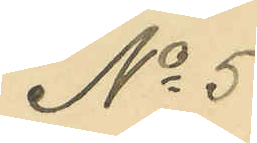No 5
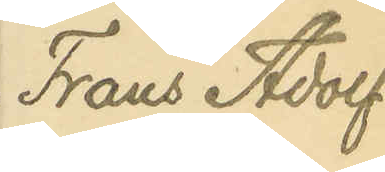Frans Adolf
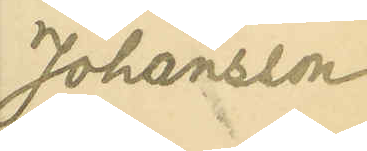Johansson
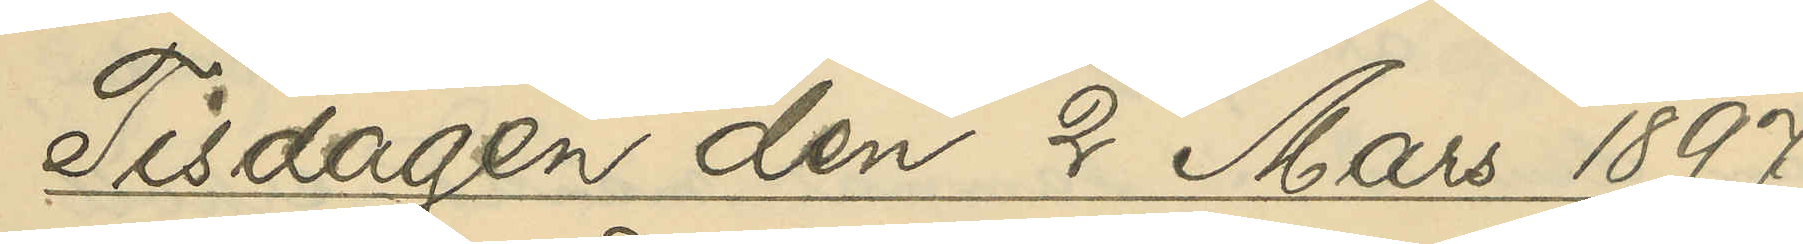Tisdagen den 2 Mars 1897.
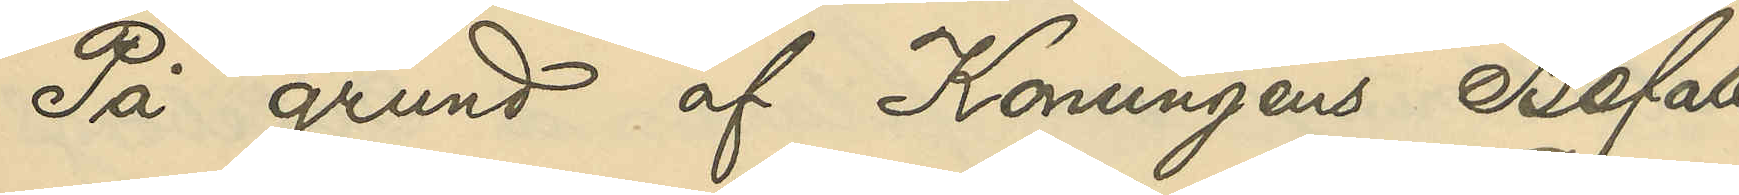På grund af Konungens Befall¬
